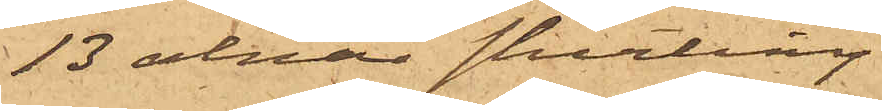13 alnar shirting
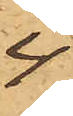4-
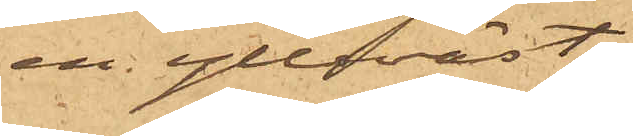en ylleväst
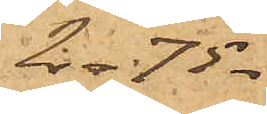2- 75-
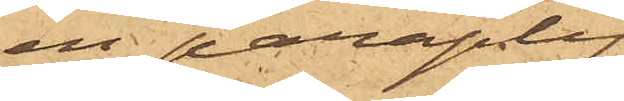en paraply
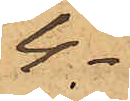4-
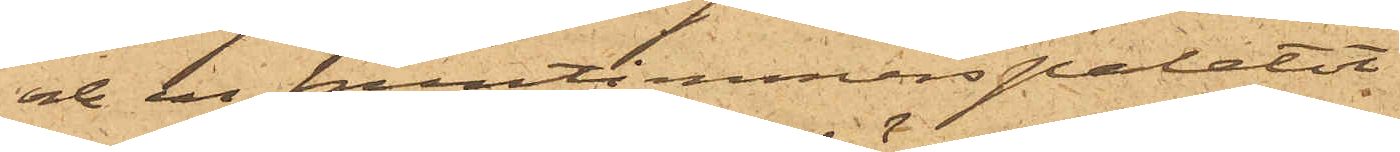och en fruntimmerspaletot
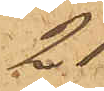21-.
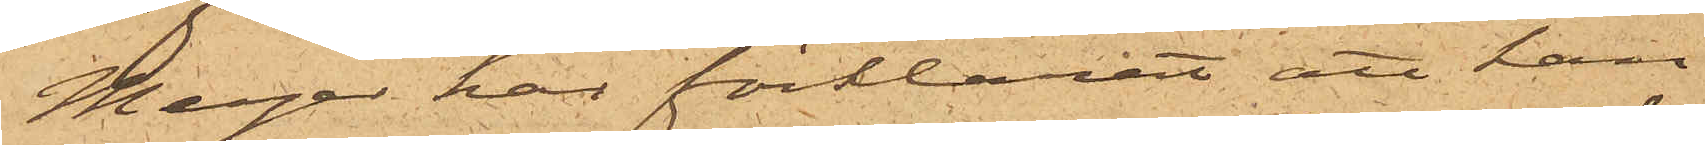Meyer har förklarat att han
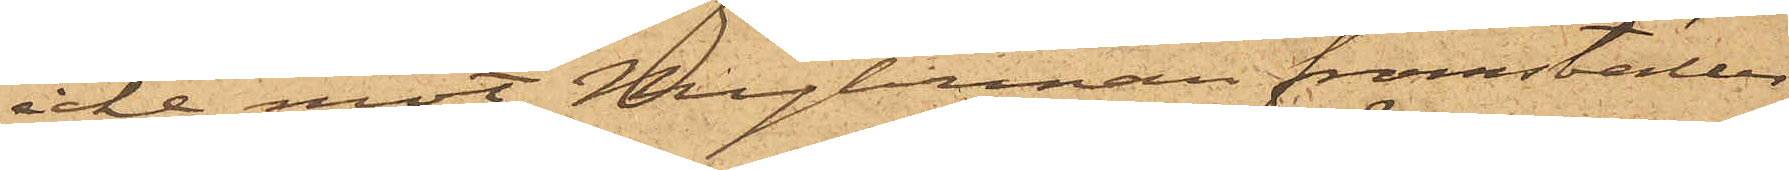icke mot Myhrman framställer
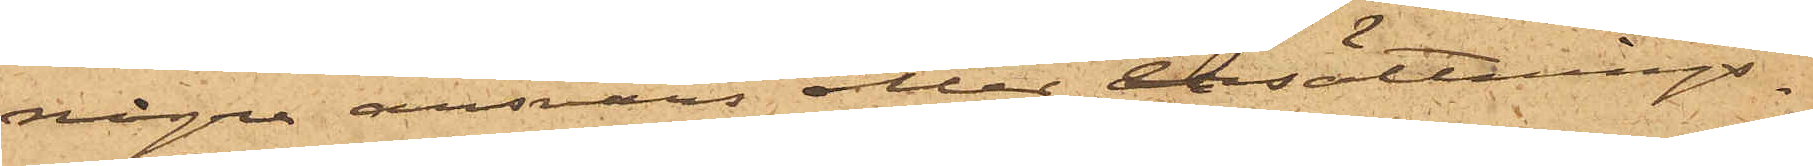några ansvars eller ersättnings¬
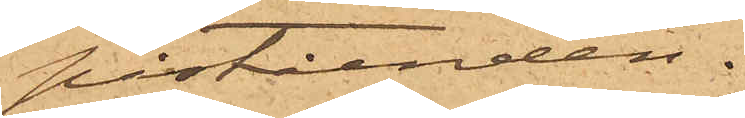påståenden.
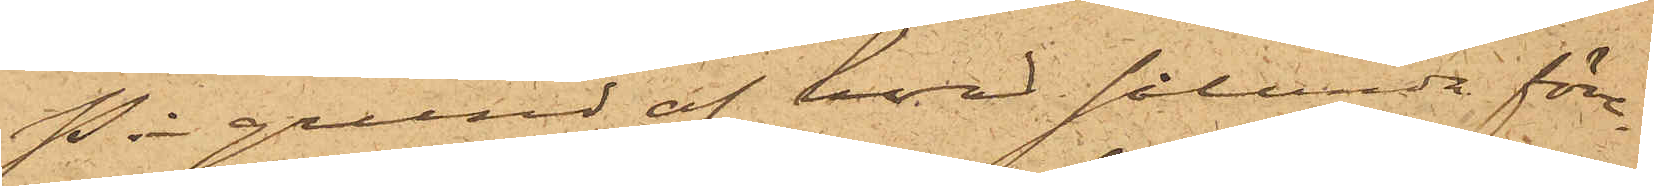På grund af hvad sålunda före¬
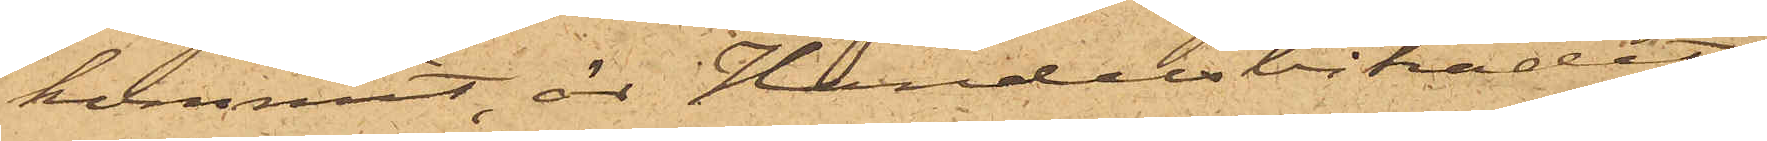kommit, är Handelsbiträdet
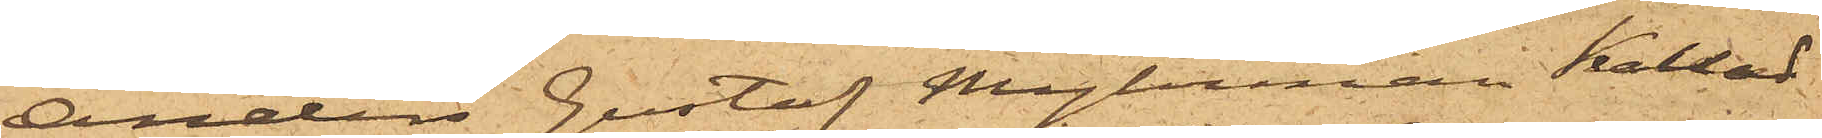Anders Gustaf Myhrman kallad
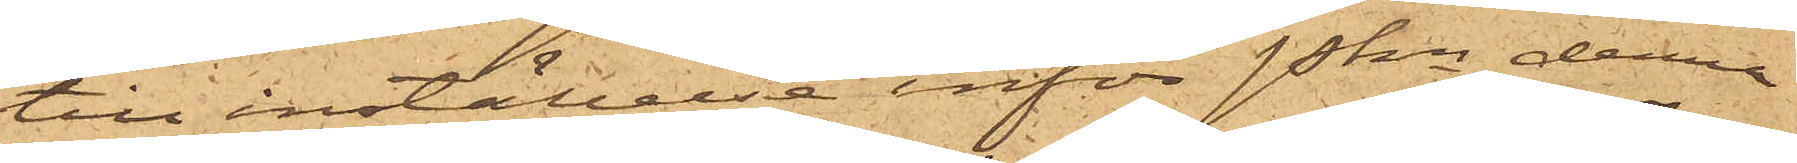till inställelse inför Pkn denna
